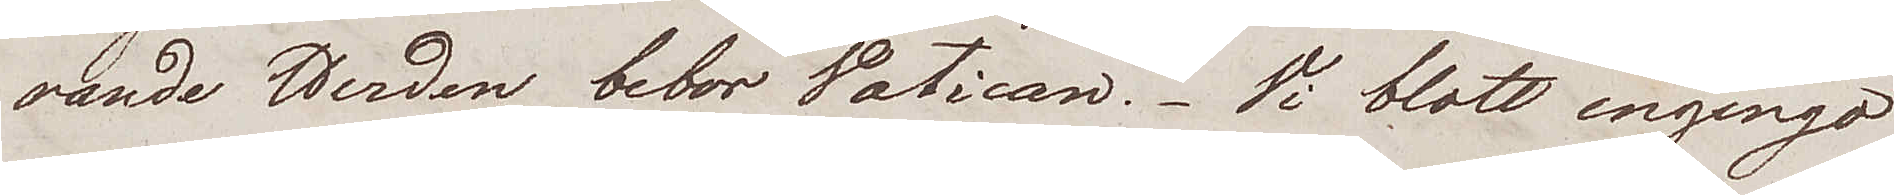rande Herden bebor Vatican. Vi blott ingingo
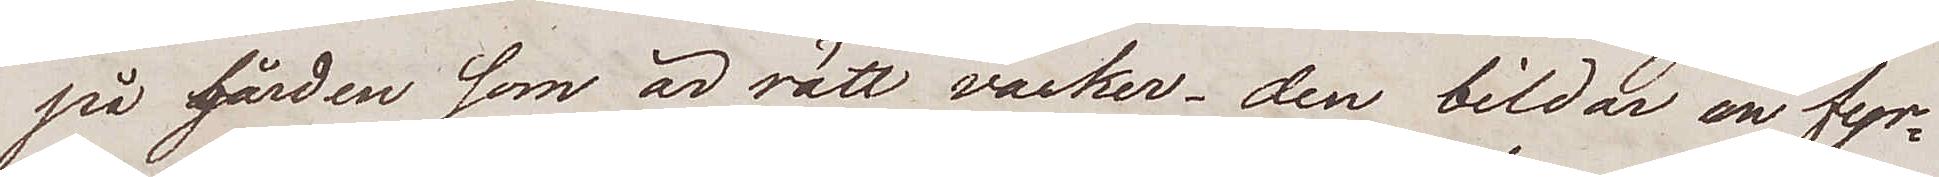på gården som är rätt vacker – den bildar en fyr¬
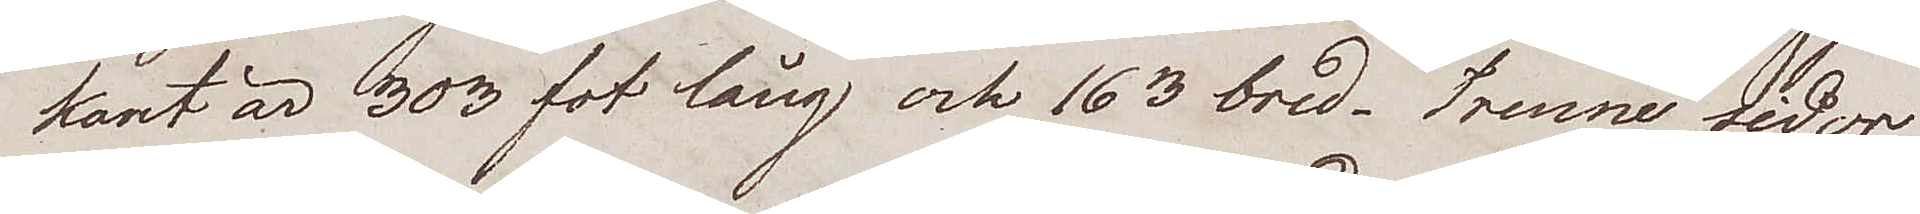kant är 303 fot lång och 163 bred. Trenne sidor
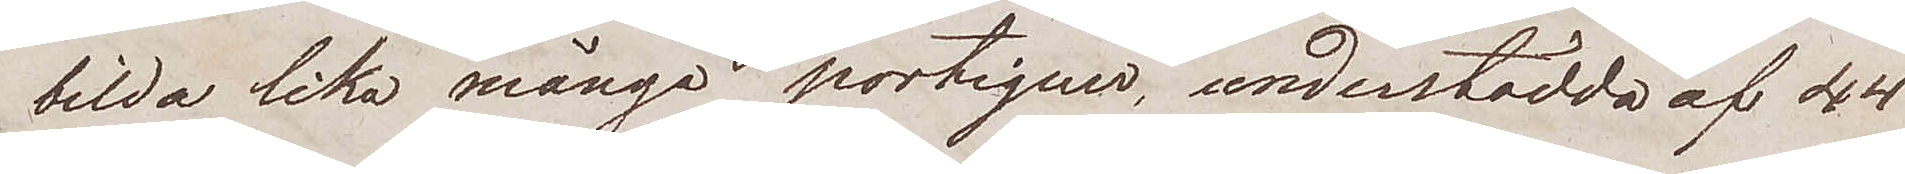bilda lika många portiquer, understödda af 44
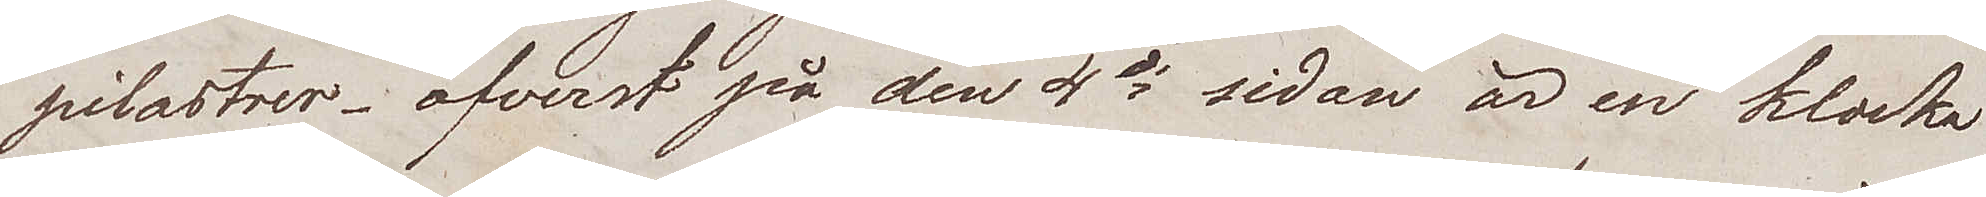pilastrer - öfverst på den 4de sidan är en klocka
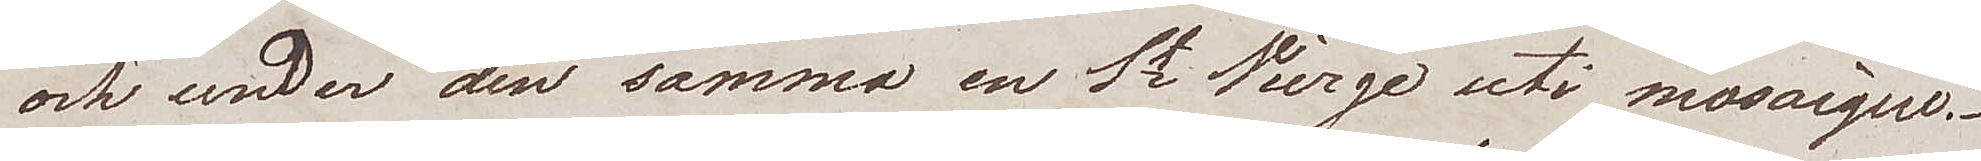och under den samma en St Vierge uti mosaique.
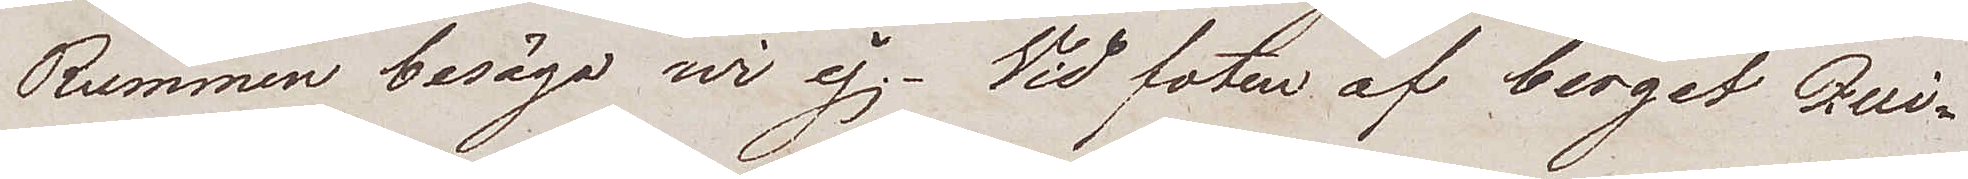Rummen besågo wi ej. Vid foten av berget Qui¬
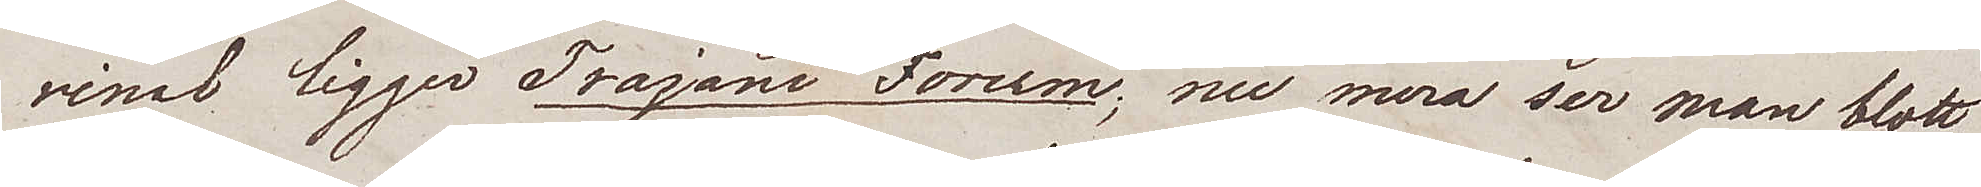rinal ligger Trajani Forum, nu mera ser man blott
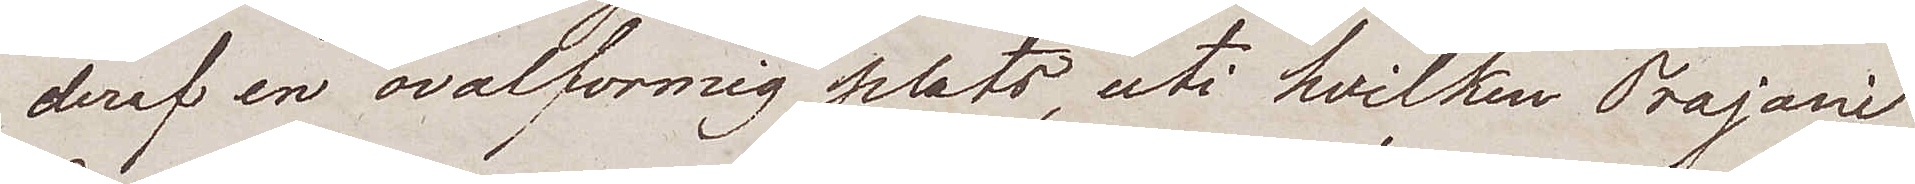deraf en ovalformig plats, uti hvilken Trajani
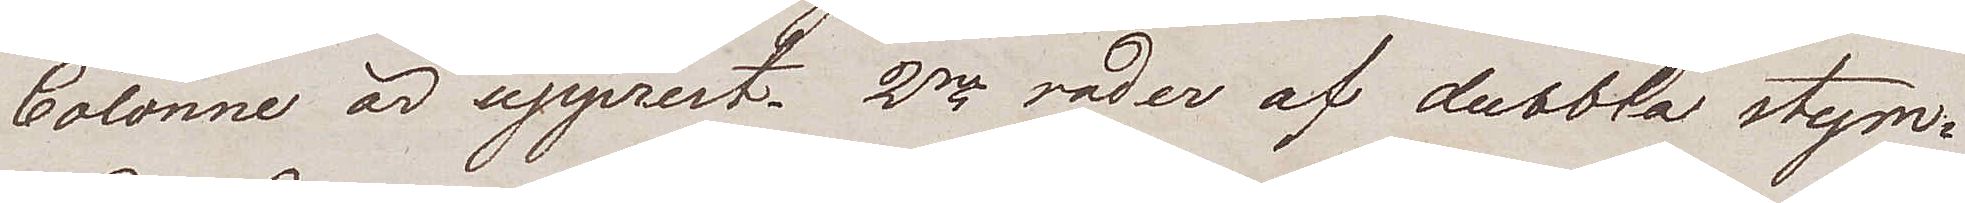Colonne är upprest. 2ne rader af dubbla stym¬
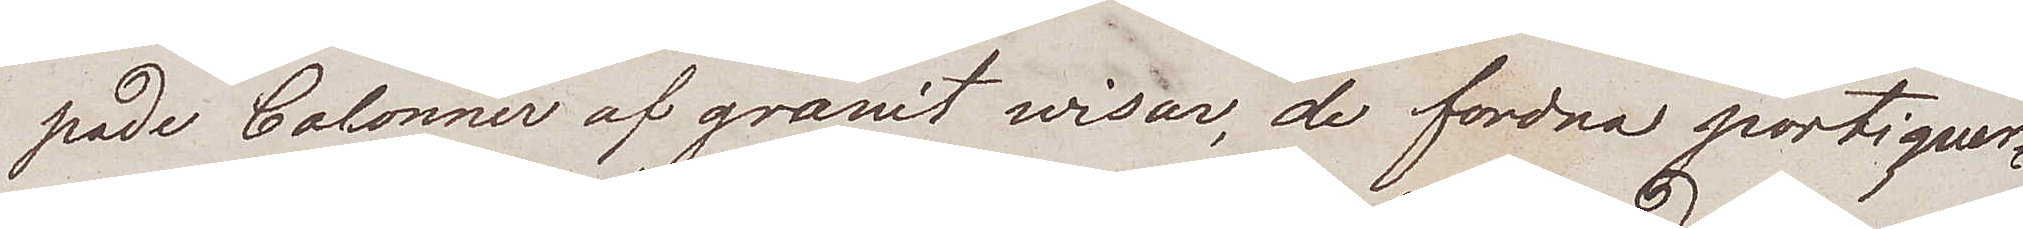pade Colonner af granit wisar, de fordna portiquer¬
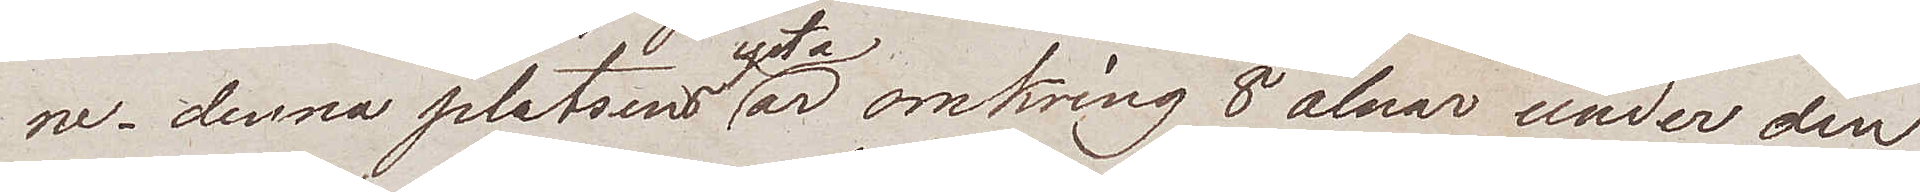ne – denna platsens är omkring 8 alnar under den
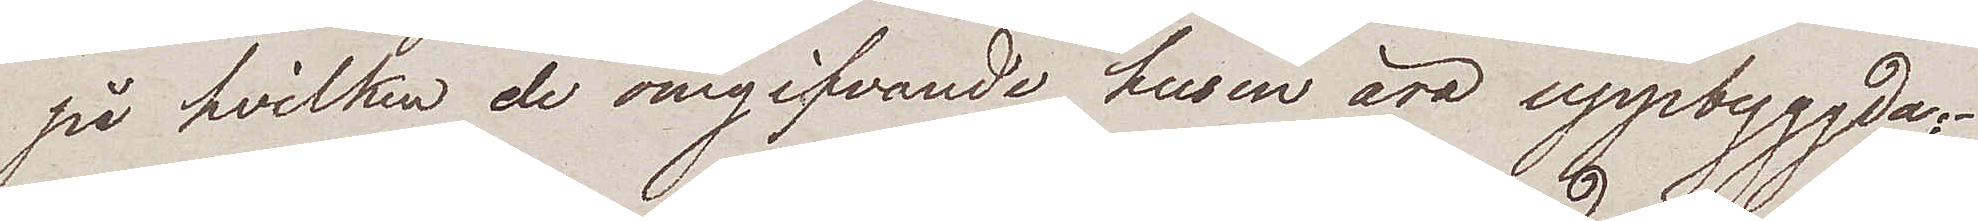på hvilken de omgifvande husen äro uppbyggda,
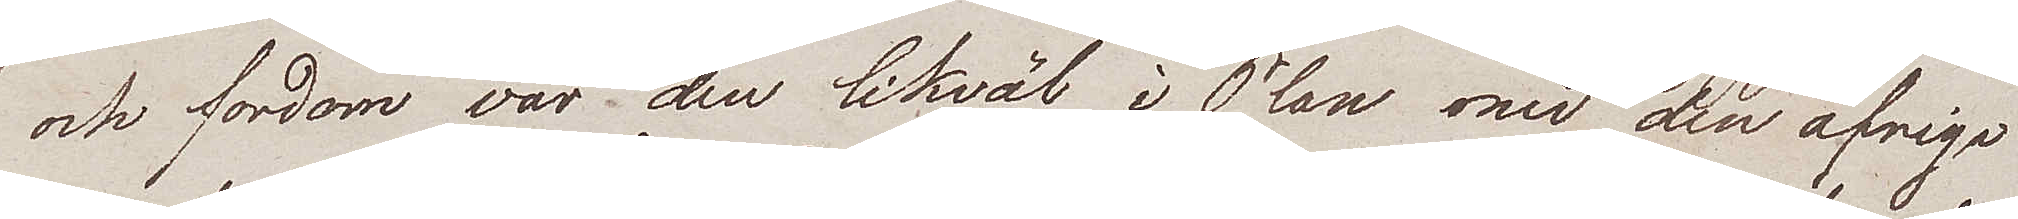och fordom var den likväl i Plan med den öfrige
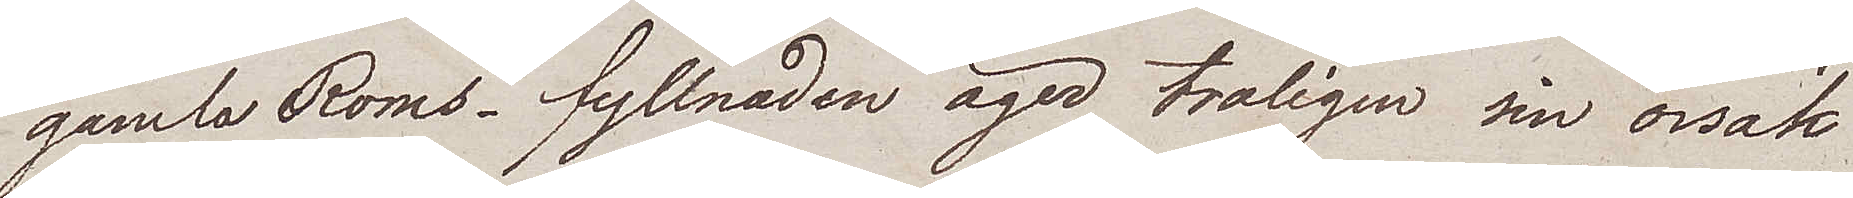gamla Roms, fyllnaden äger troligen sin orsak
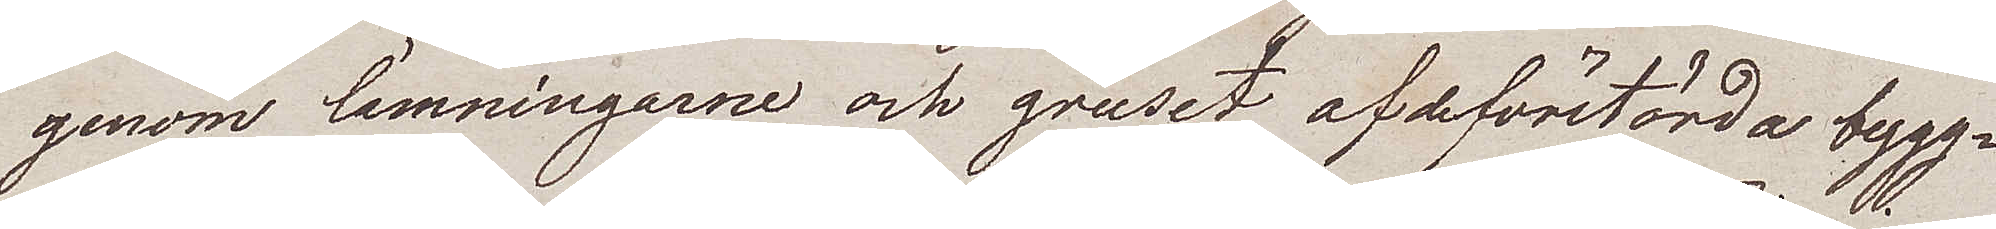genom lämningarne och gruset af de förstörda bygg¬
